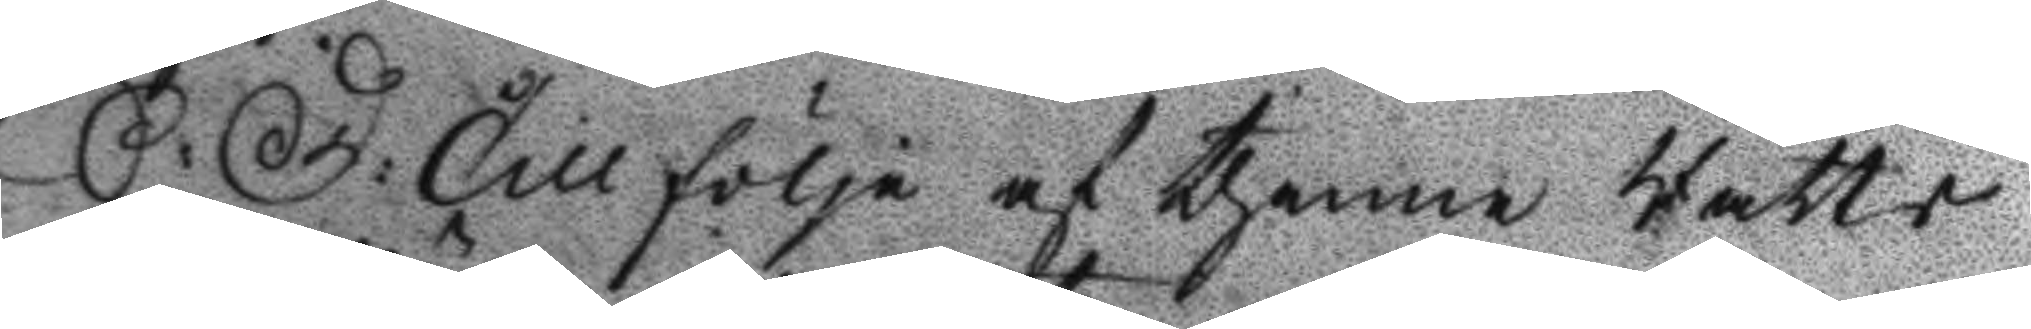S: D: Till följe af thenne Rätts 
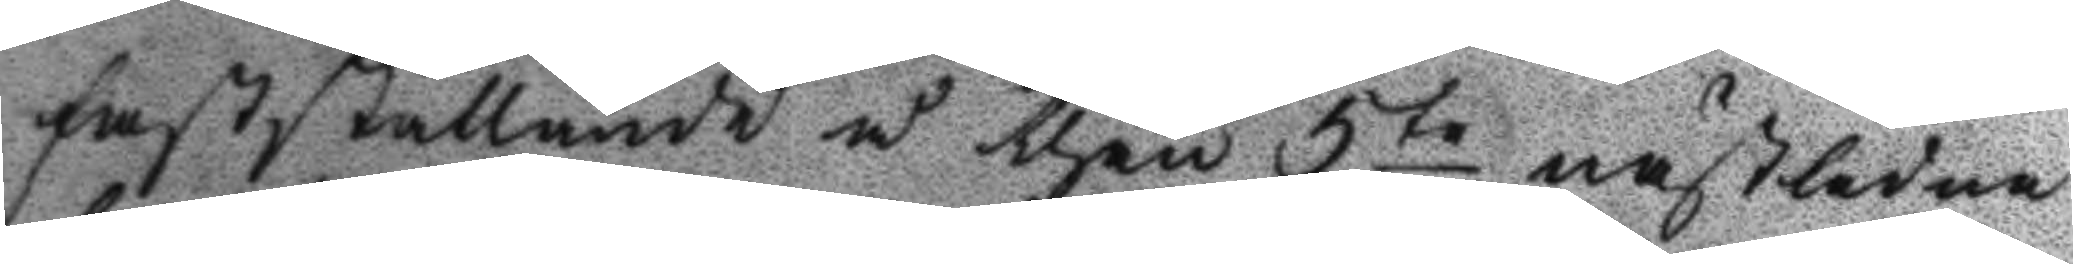fastställande å then 5te nästledne
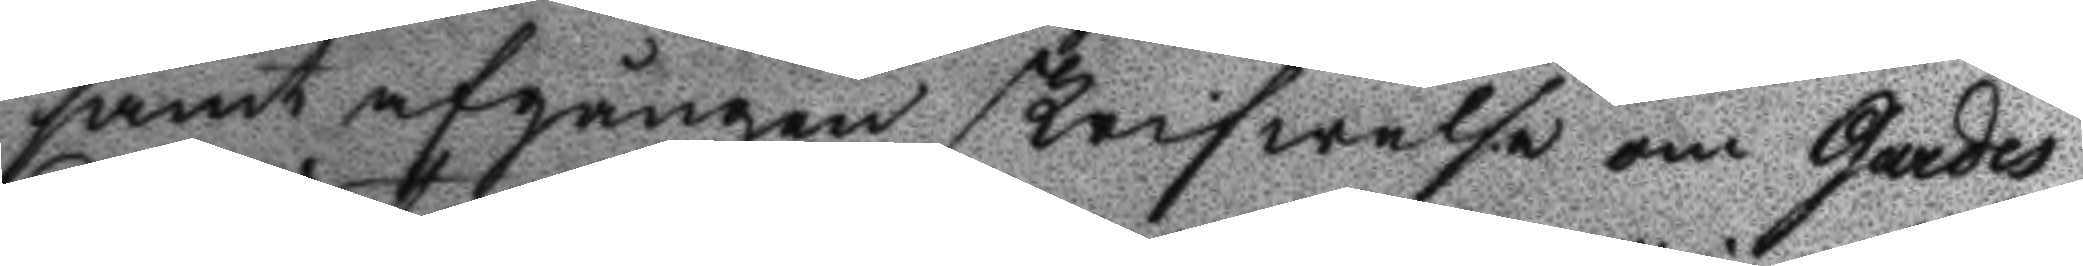samt afgången skrifwelse om Gardes
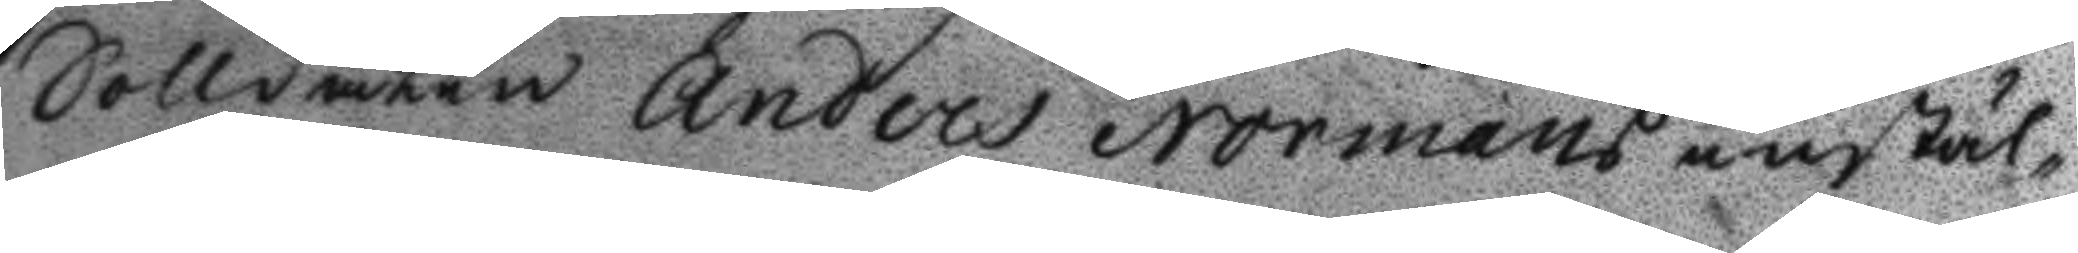Solldaten Anders Normans instäl¬
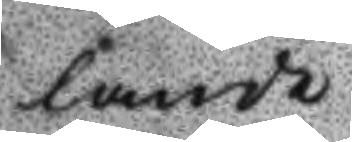lande
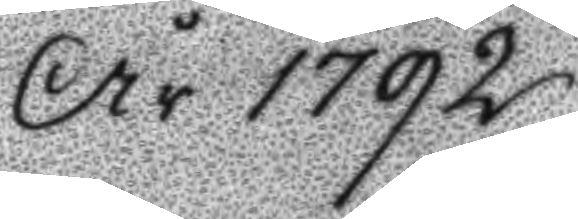År 1792.
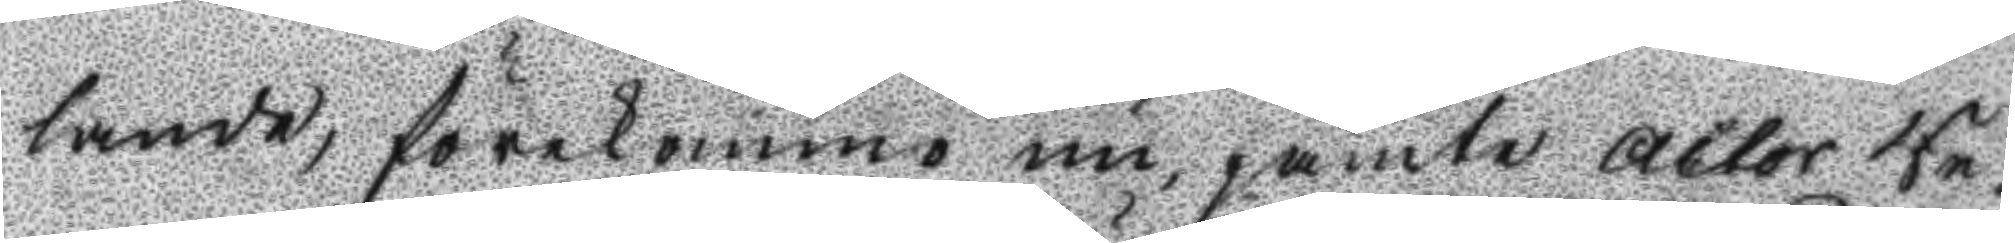lande, förekommo nu jämte actor Re¬
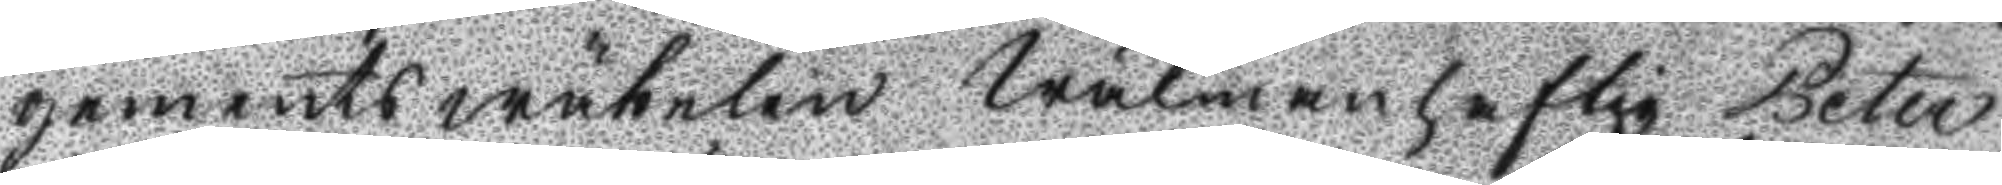gements wäbelen Wälmanhaftig Peter
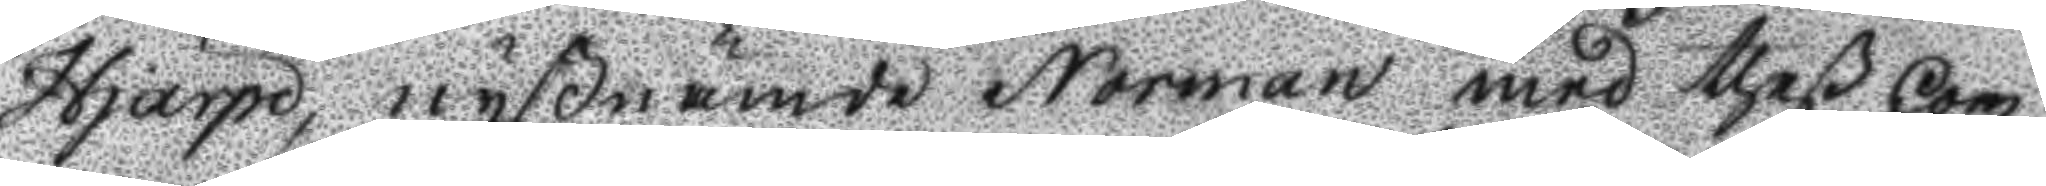Hjärpe, nyßnämde Norman med theß Com¬
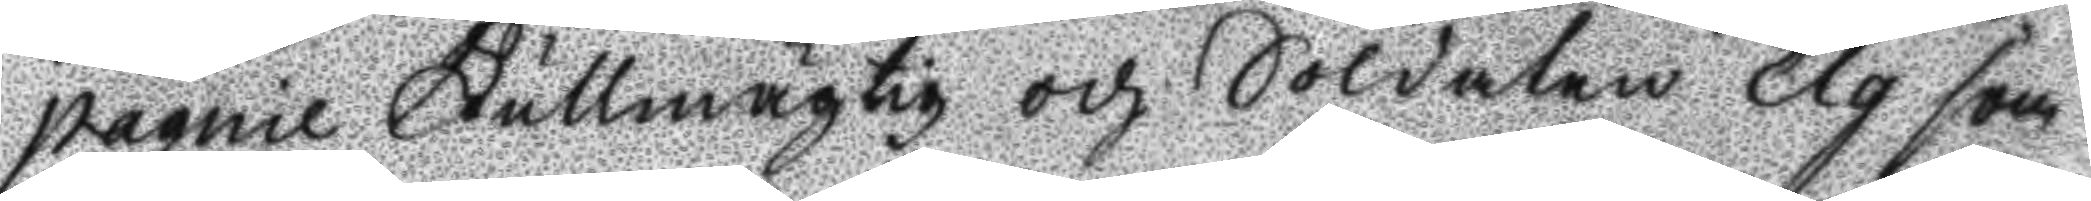pagnie Fullmägtig och Soldaten Elg som
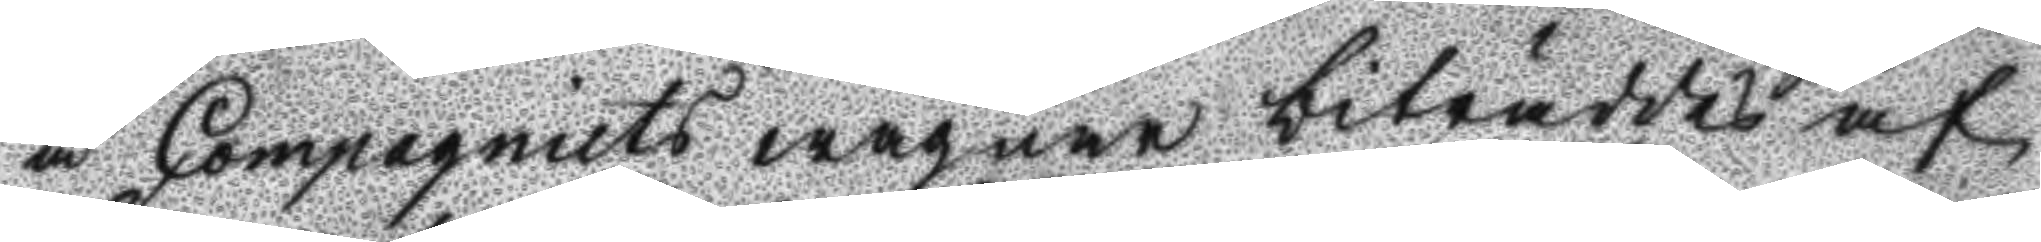å Compagniets wägnar biträddes af
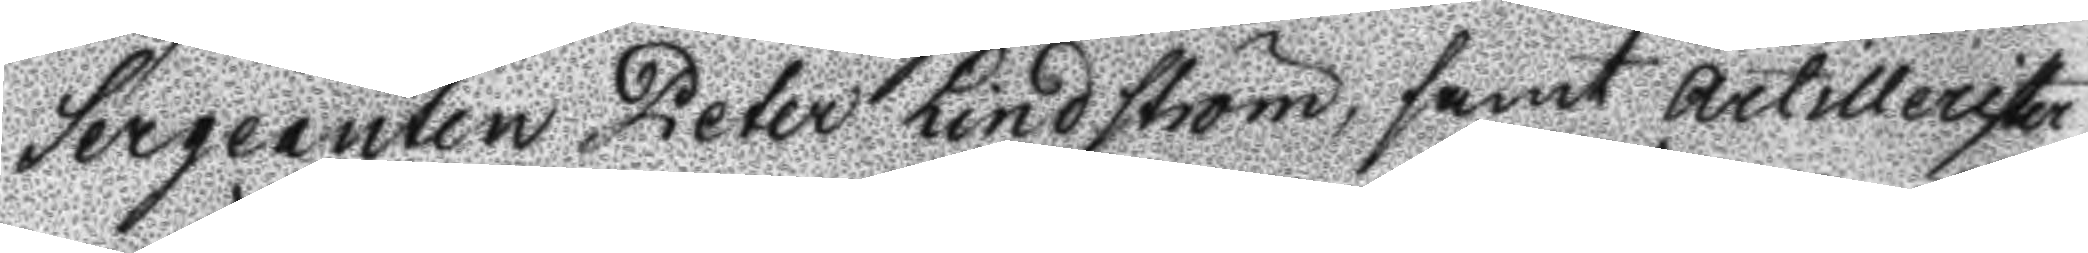Sergenaten Peter Lindström, samt artillerister¬
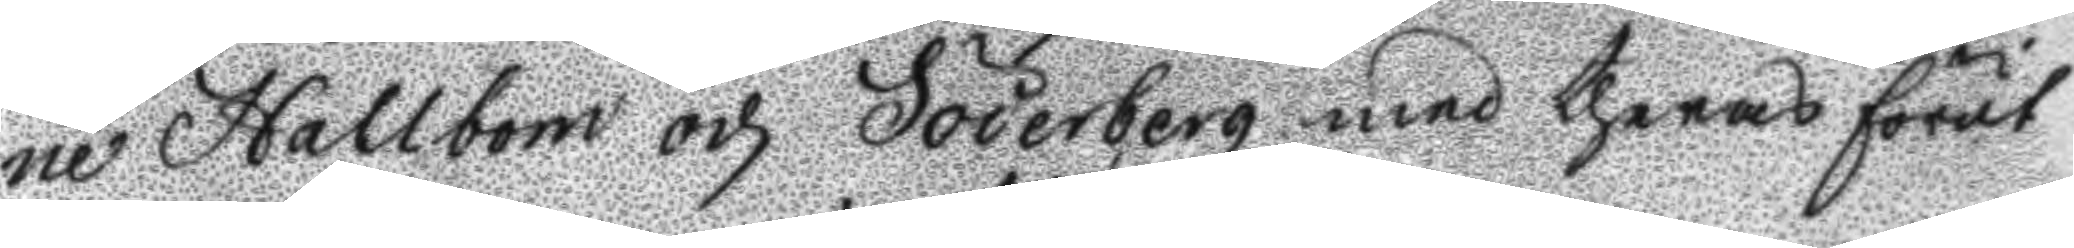ne Hallström och Söderbeg med theras förut
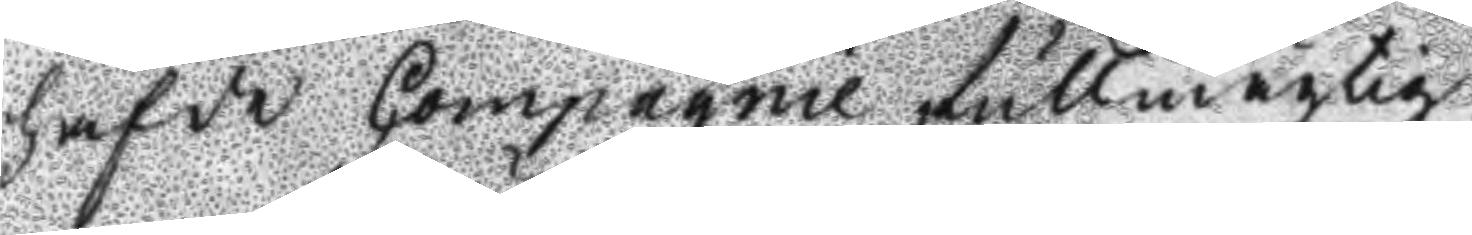hafde Compagnie fullmägtig.
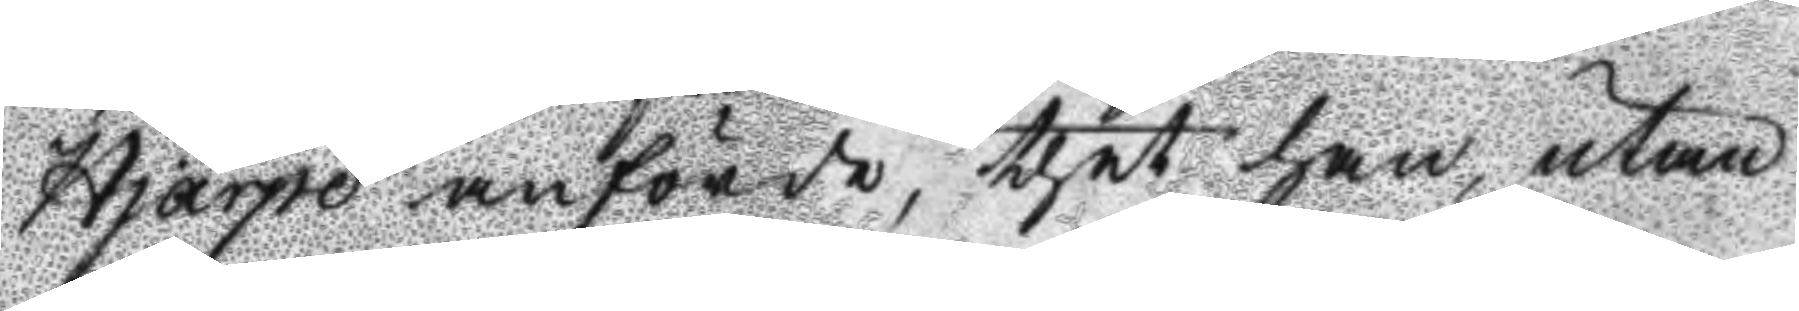Hjärpe anförde, thet han, utan
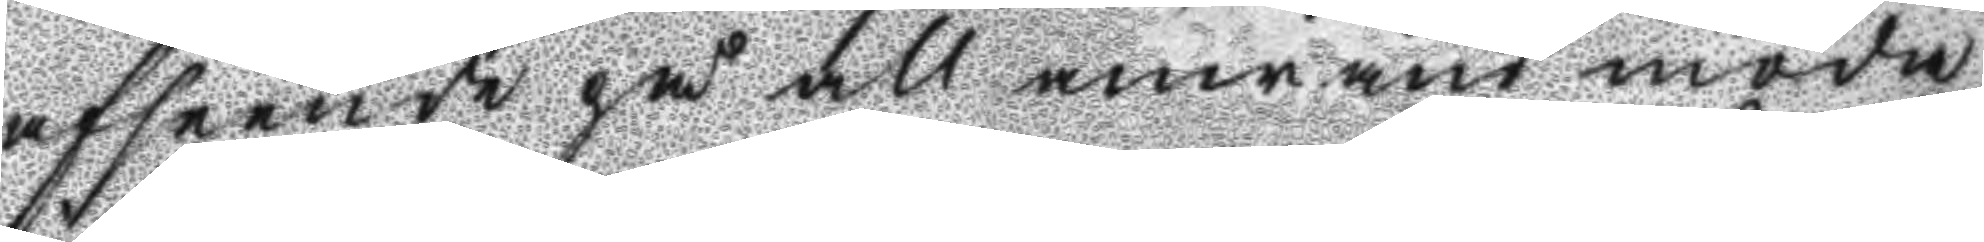afseende på all anwänd möda
